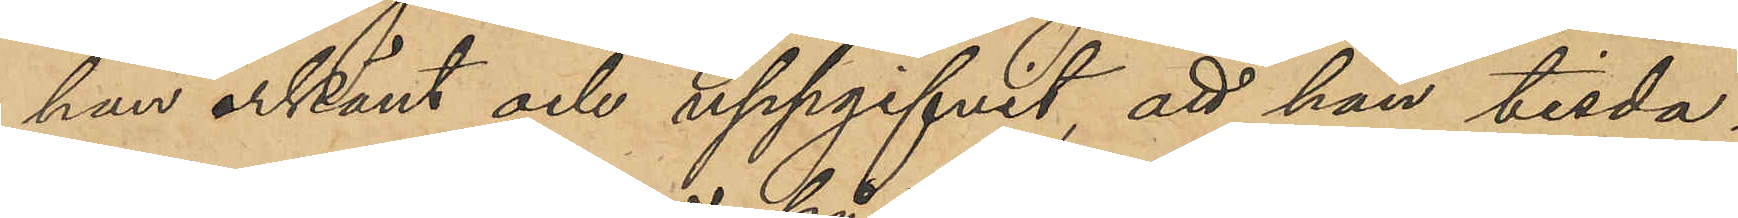han erkänt och uppgifvit, att han tisda¬
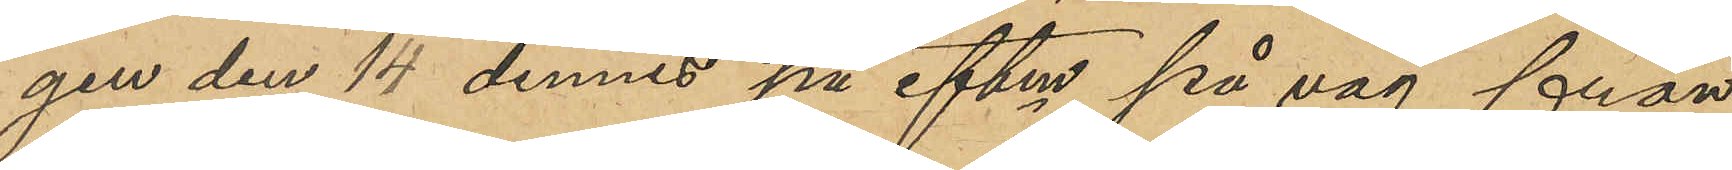gen den 14 dennes på eftm på väg från
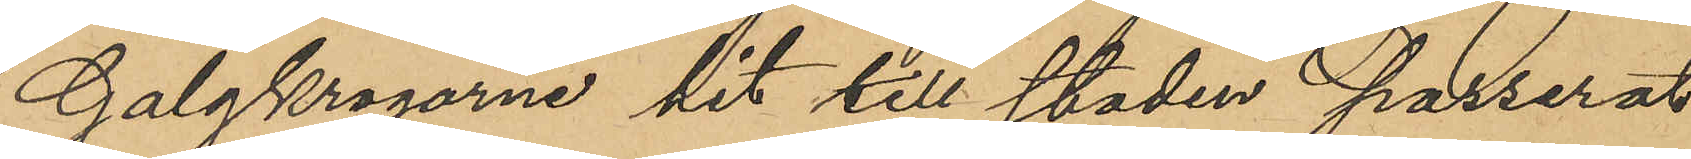Galgkrogarne hit till staden passerat
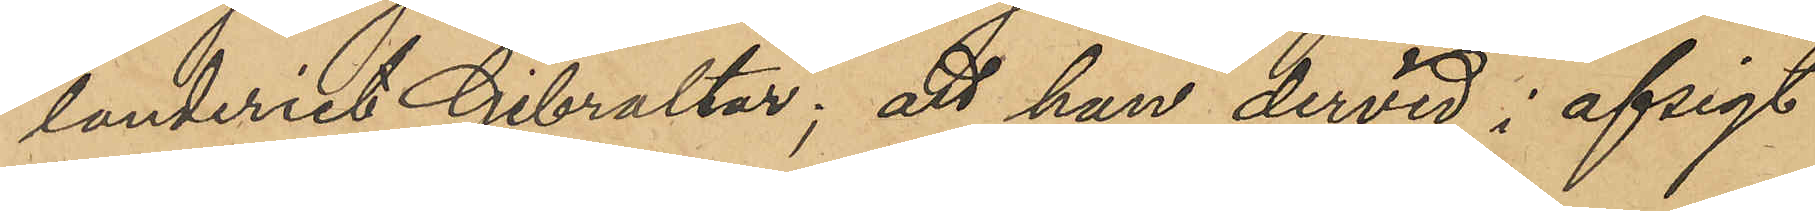landeriet Gibraltar; att han dervid i afsigt
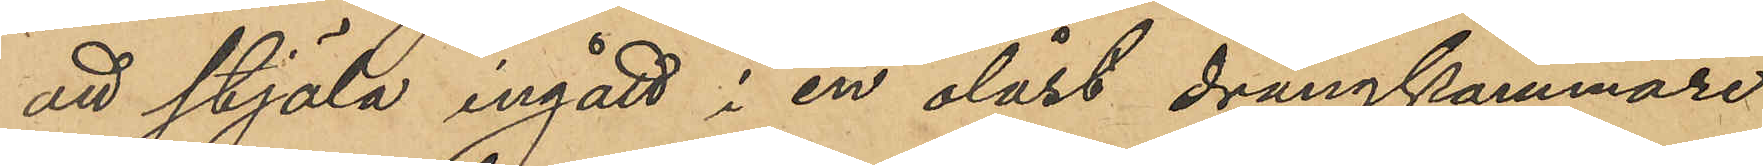att stjäla ingått i en olåst drängkammare
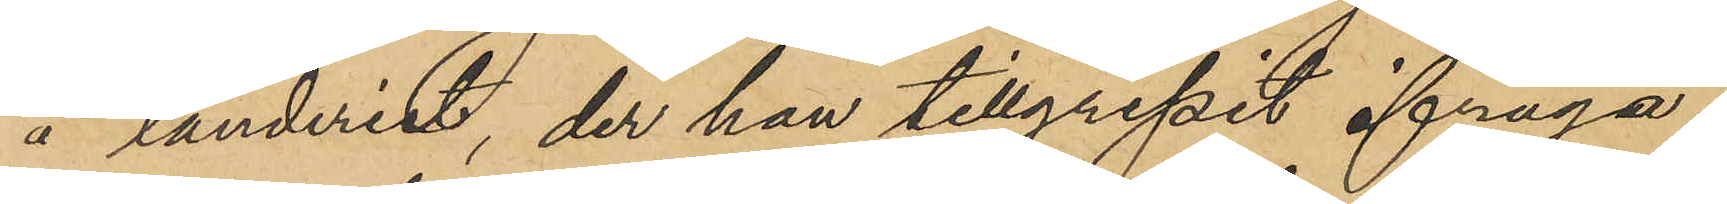å landeriet, der han tillgripit ifråga¬
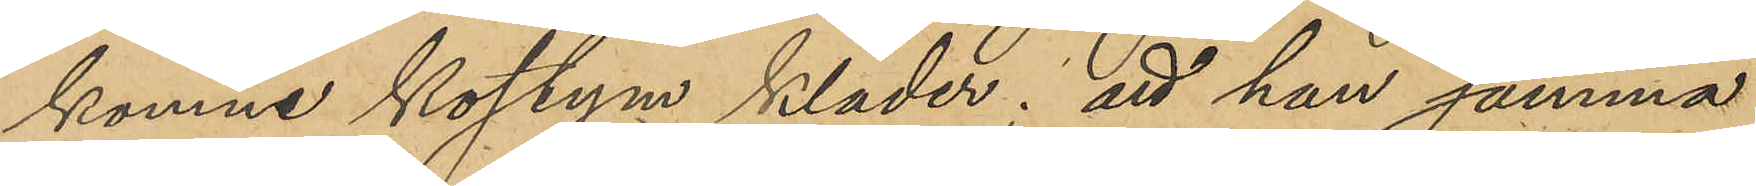komne kostym kläder; att han samma
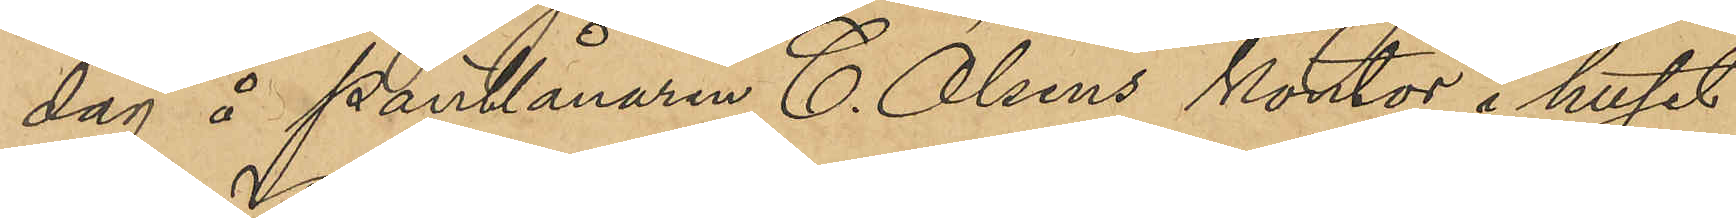dag å Pantlånaren C. Olsens kontor i huset
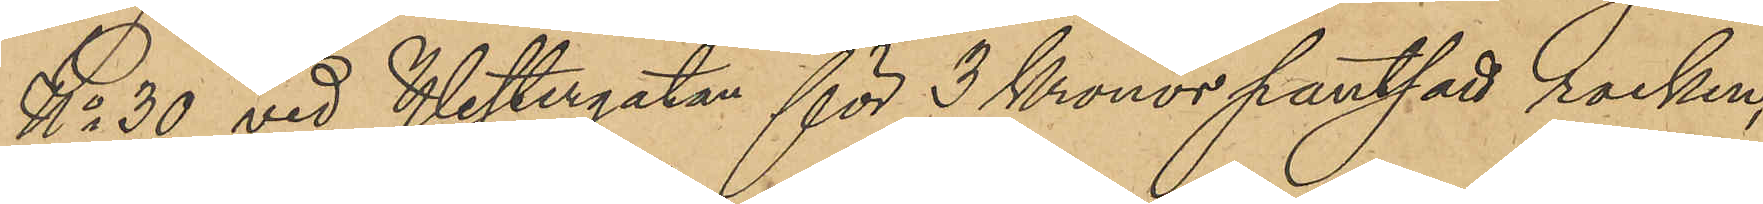No 30 vid Westergatan för 3 Kronor pantsatt rocken,
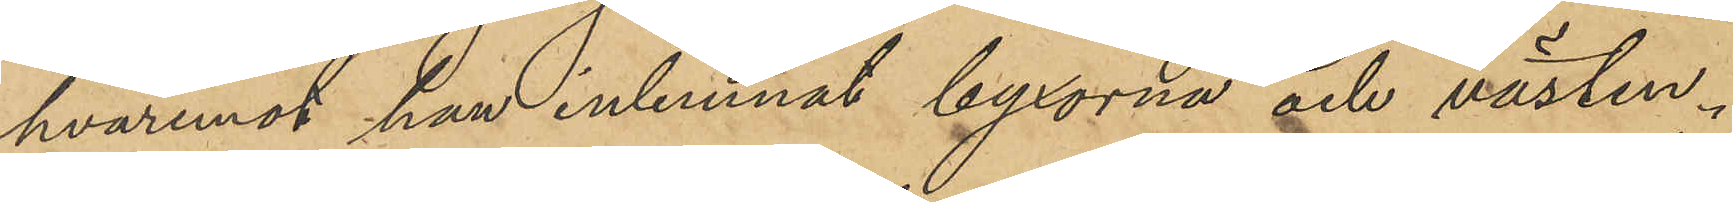hvaremot han inlemnat byxorna och västen i
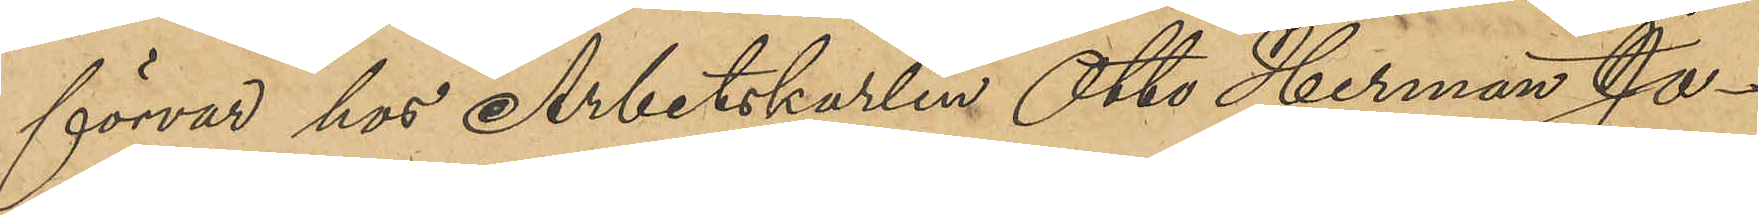förvar hos Arbetskarlen Otto Herman Jo¬
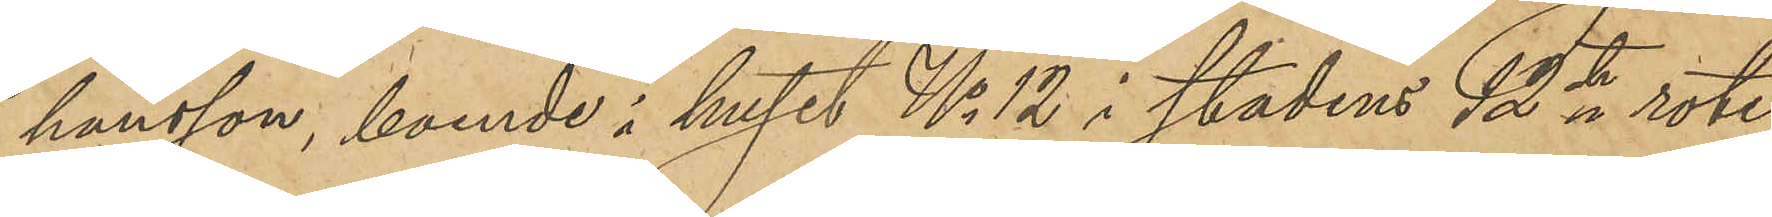hansson, boende i huset No 12 i stadens 12te rote;
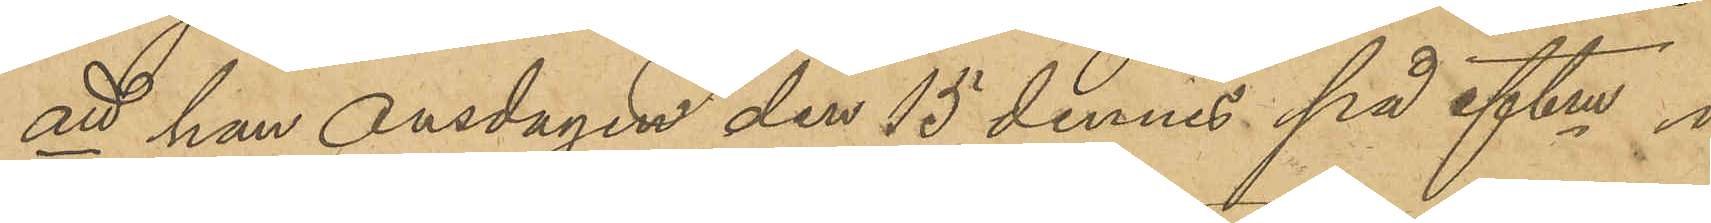att han Onsdagen den 15 dennes på eftm i
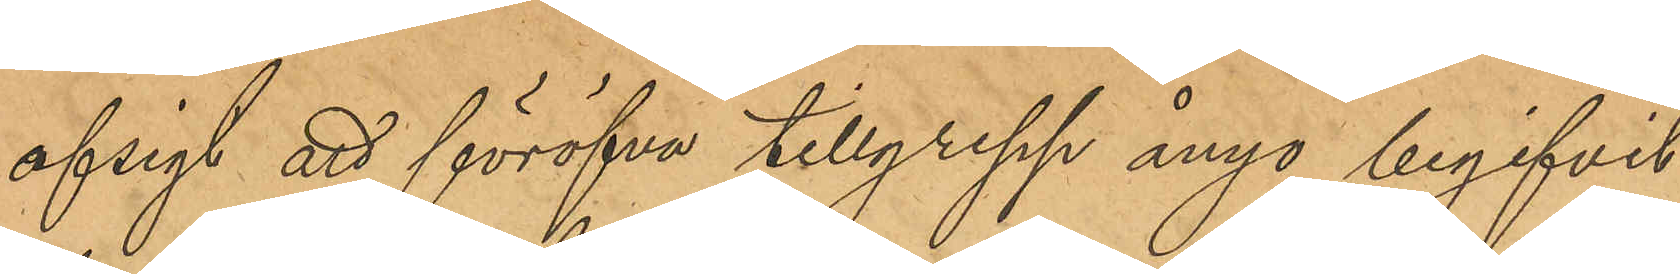afsigt att föröfva tillgrepp ånyo begifvit
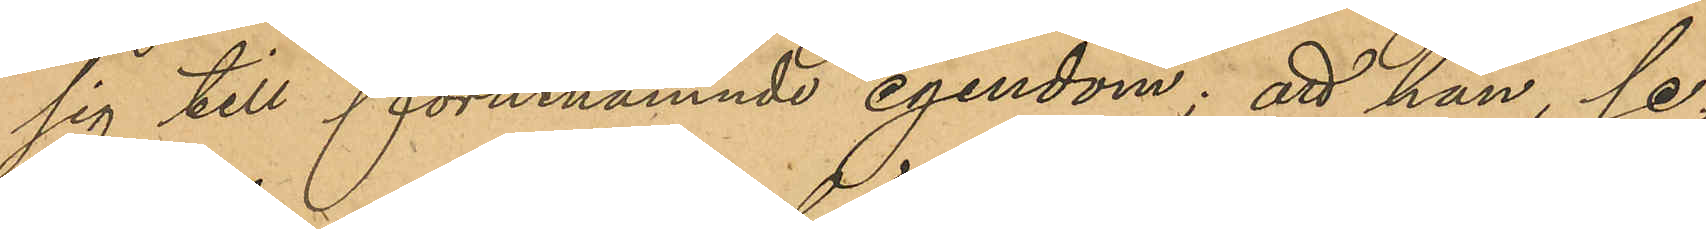sig till förutnämnde egendom; att han, se¬
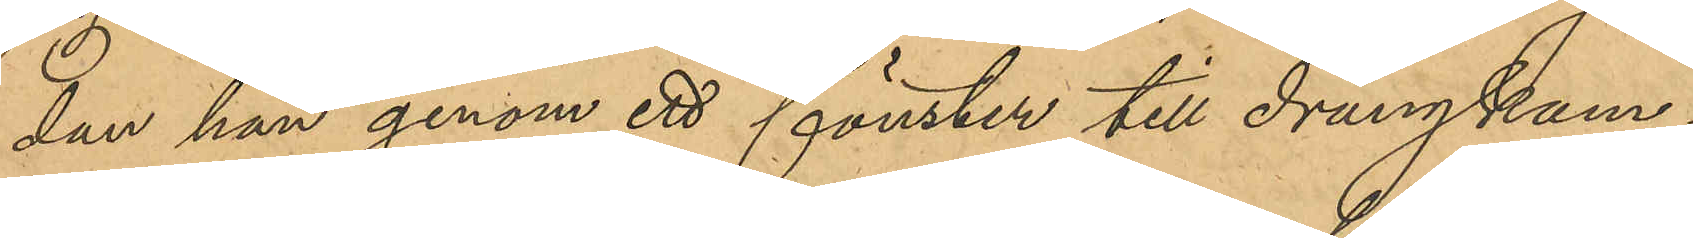dan han genom ett fönster till drängkam¬
